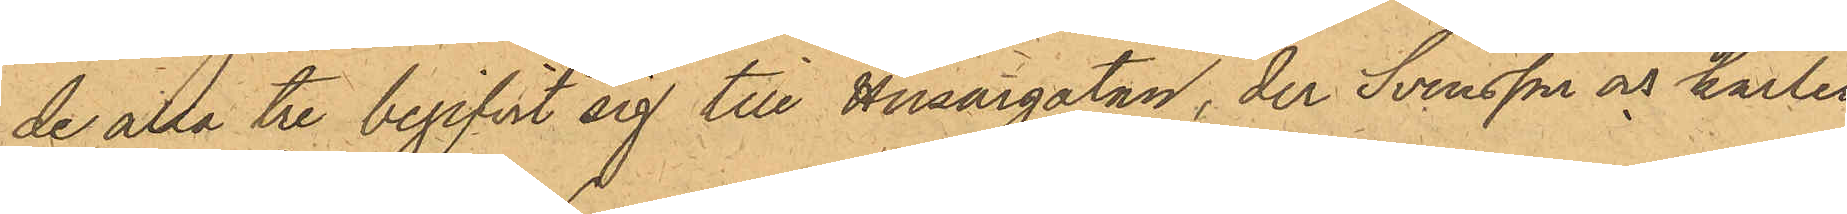de alla tre begifvit sig till Husargatan, der Svensson och karlen
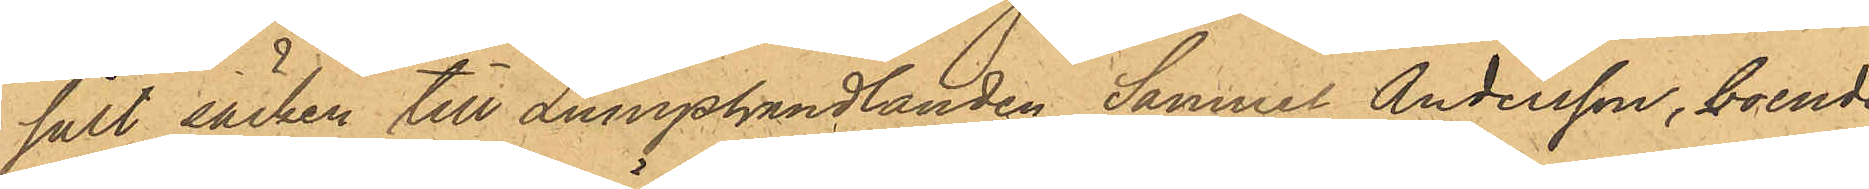sålt säcken till Lumphandlanden Samuel Andersson, boende
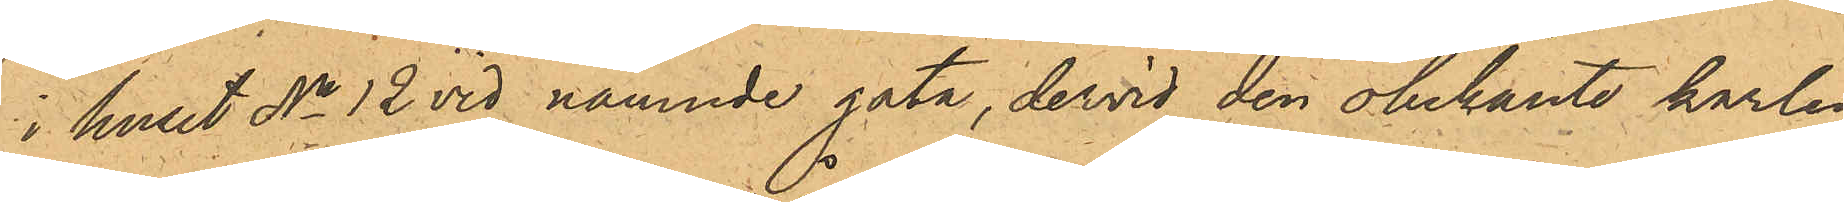i huset No 12 vid nämnde gata, dervid den obekante karlen
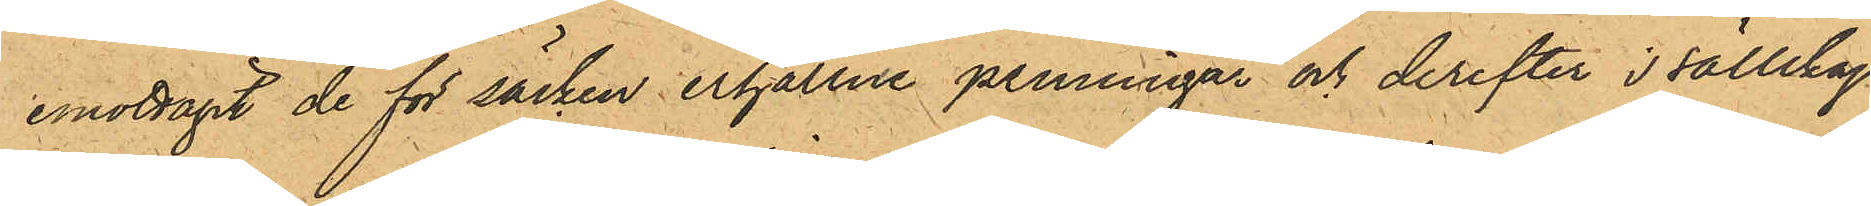emottagit de för säcken erhållne penningar och derefter i sällskap
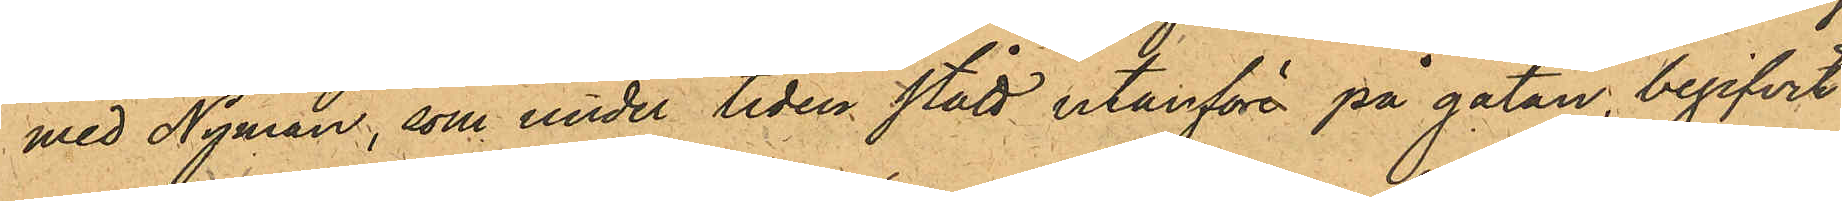med Nyman, som under tiden stått utanföre på gatan, begifvit
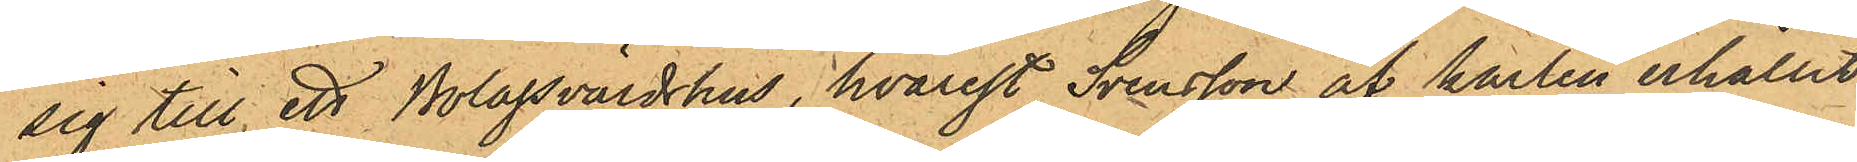sig till ett Bolagsvärdshus, hvarest Svensson af karlen erhållit
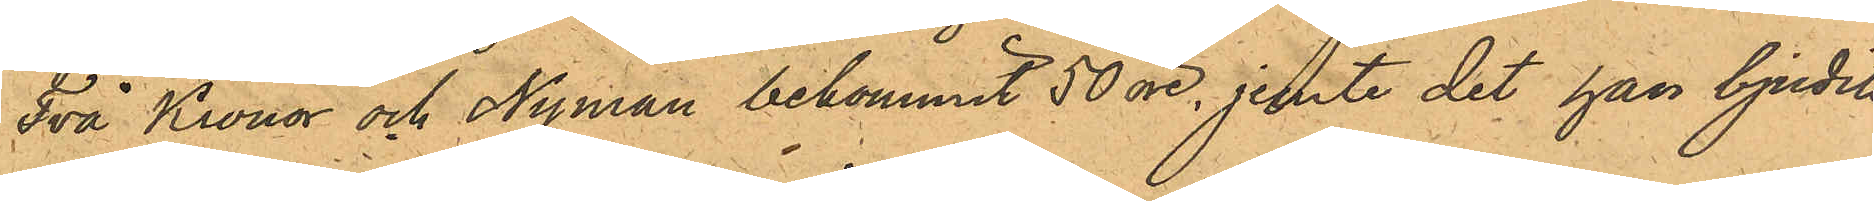Två Kronor och Nyman bekommit 50 öre, jemte det han bjudits
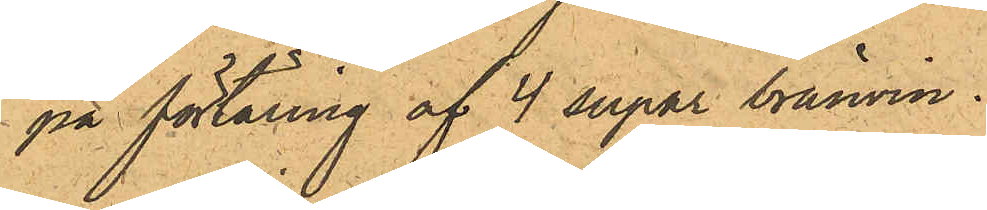på förtäring af 4 supar bränvin.
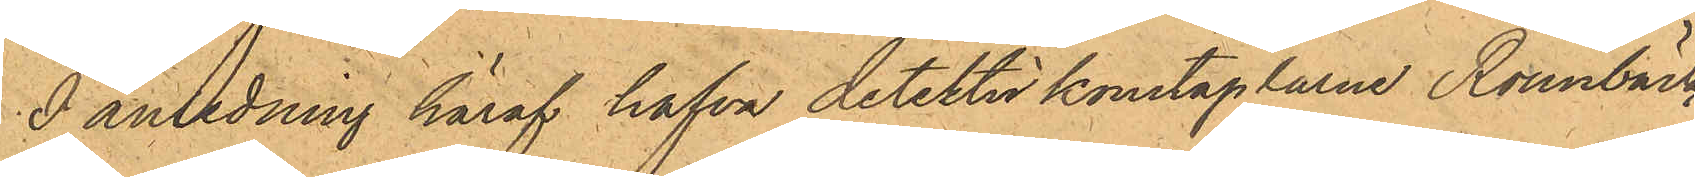I anledning häraf hafva detektivkonstaplarne Rönnbäck
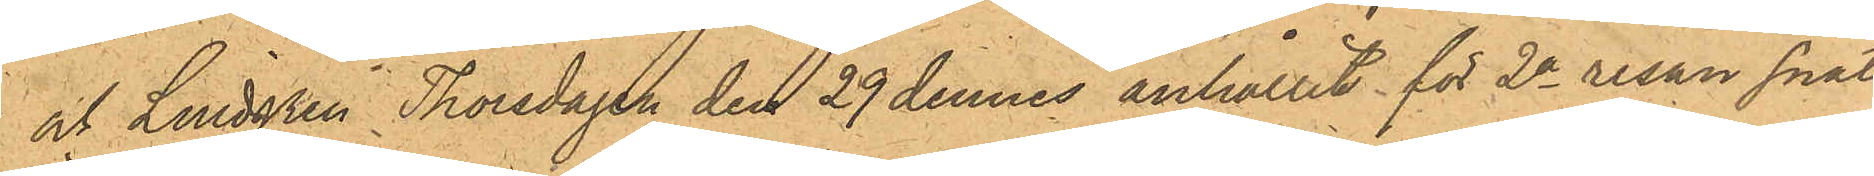och Lindgren Thorsdagen den 29 dennes anhållit för 2a resan snat¬
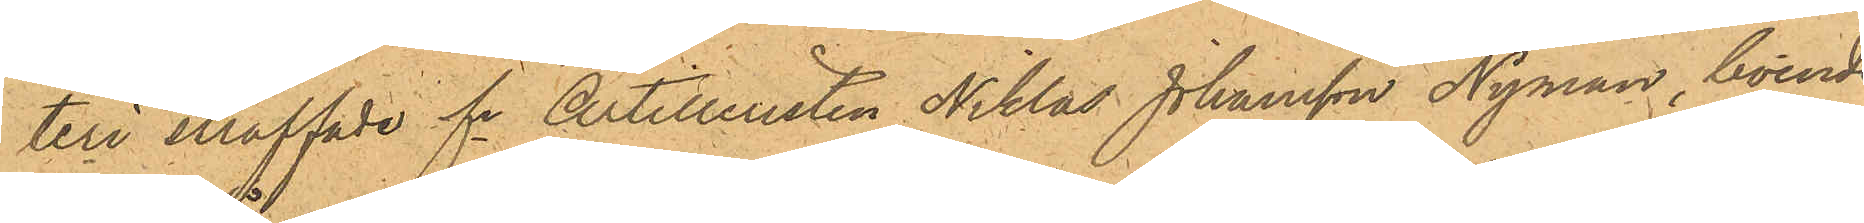teri kaffade fe Artilleristen Niklas Johansson Nyman, boende
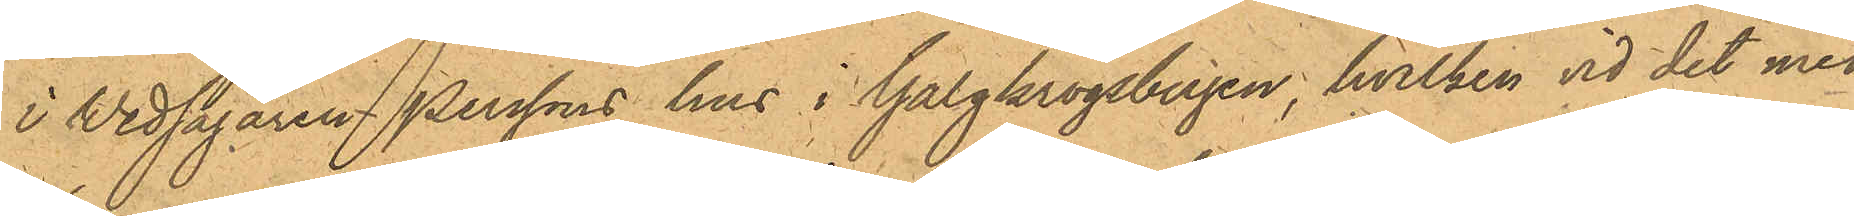i Wedsågaren Perssons hus i Galgkrogsbergen, hvilken vid det med
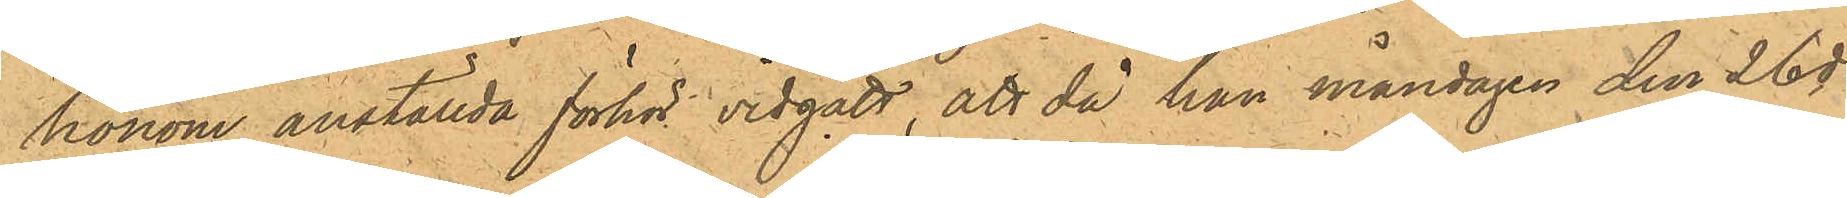honom anställda förhör vidgått, att då han måndagen den 26 ds
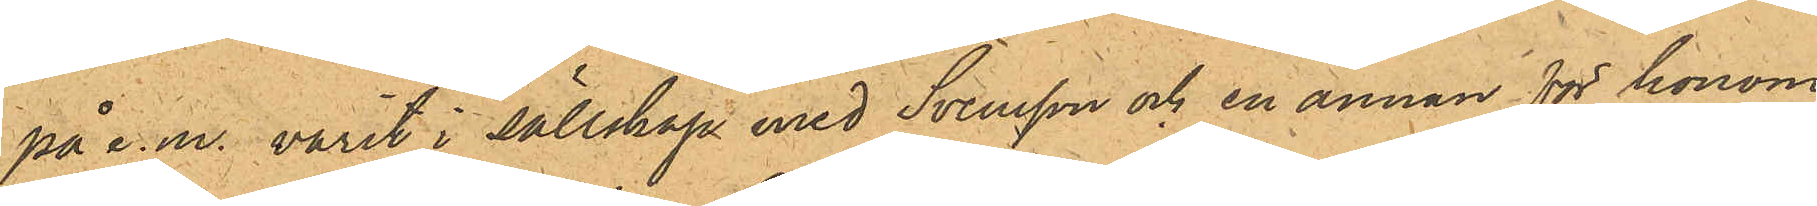på e.m. varit i sällskap med Svensson och en annan för honom
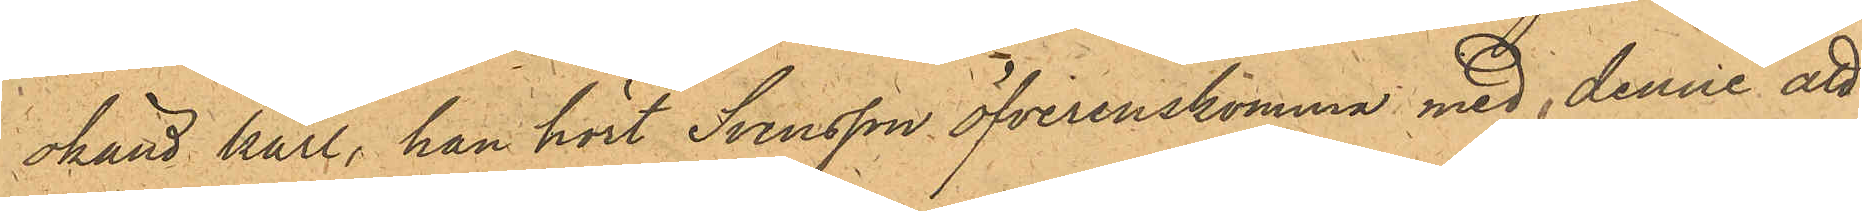okänd karl, han hört Svensson öfverenskomma med denne att
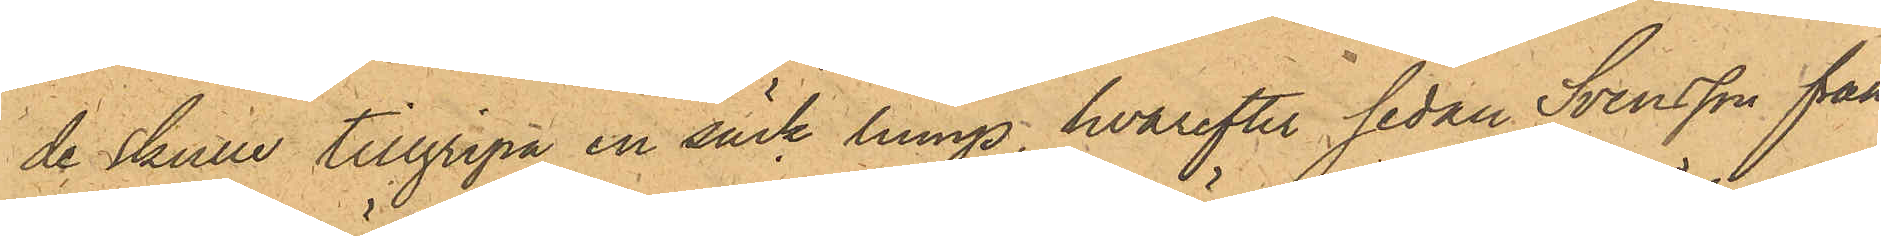de skulle tillgripa en säck lump, hvarefter sedan Svensson från
